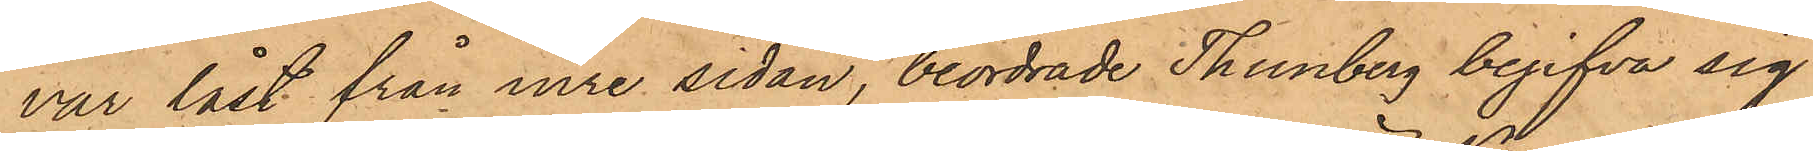var låst från inre sidan, beordrade Thunberg begifva sig
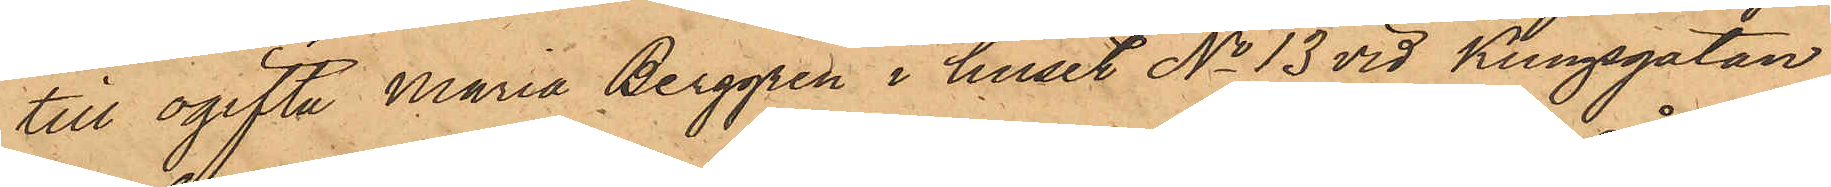till ogifta Maria Berggren i huset No 13 vid Kungsgatan
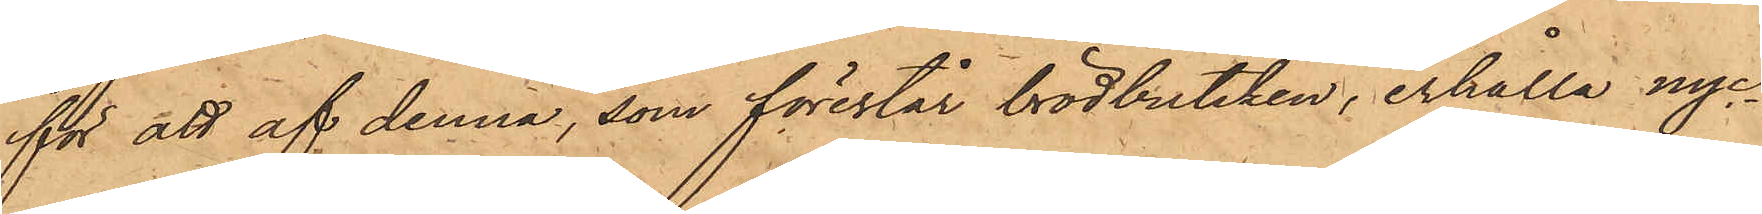för att af denna, som förestår brödbutiken, erhålla nyc¬
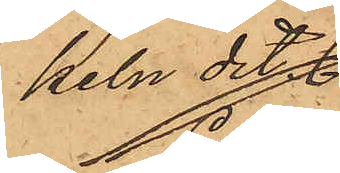keln dit.
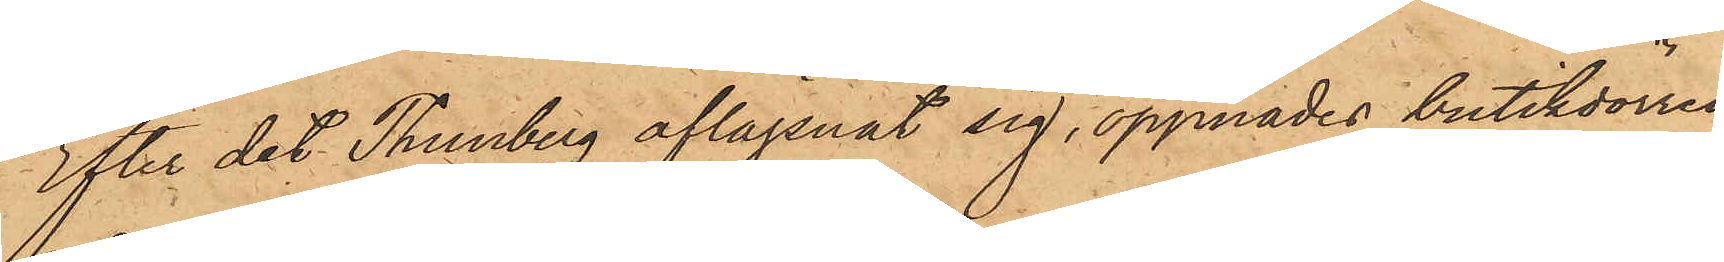Efter det Thunberg aflägsnat sig, öppnades butikdörren
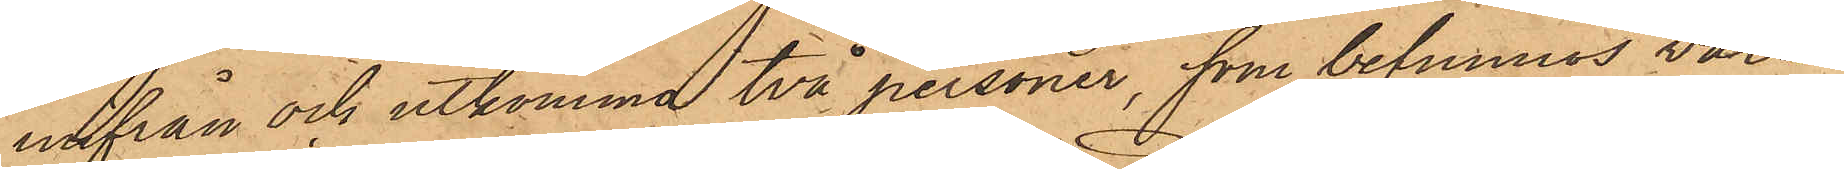inifrån och utkomma två personer, som befunnos vara
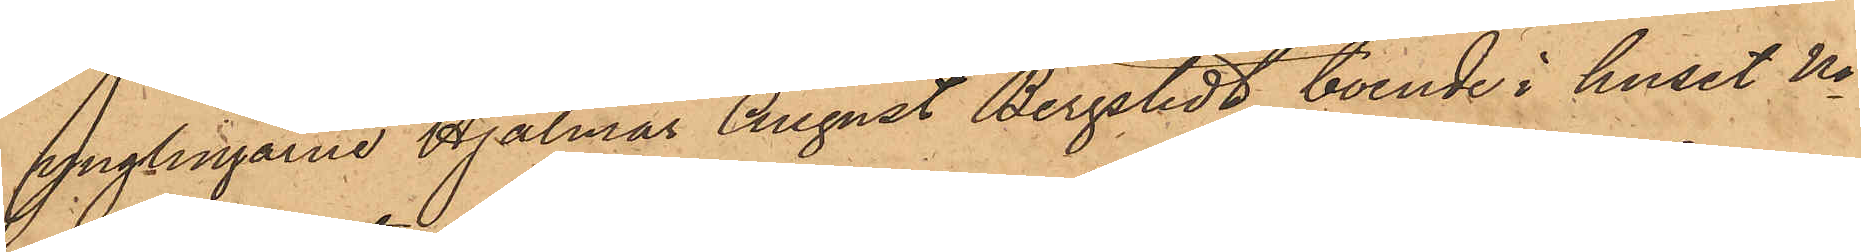ynglingarne Hjalmar August Bergstedt, boende i huset No
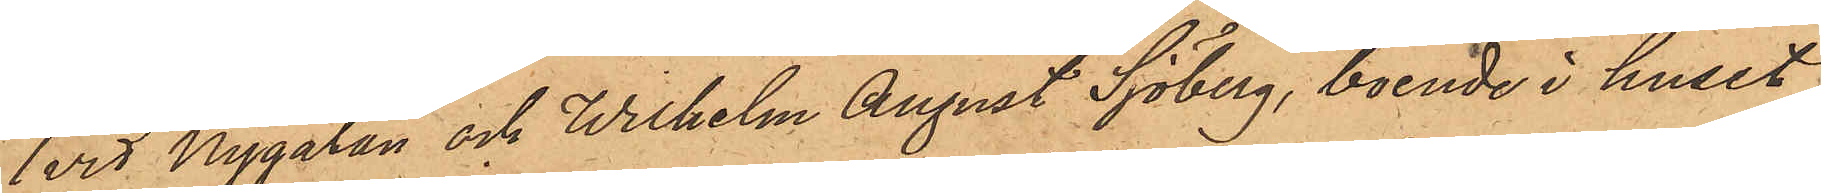1 vid Nygatan och Wilhelm August Sjöberg, boende i huset
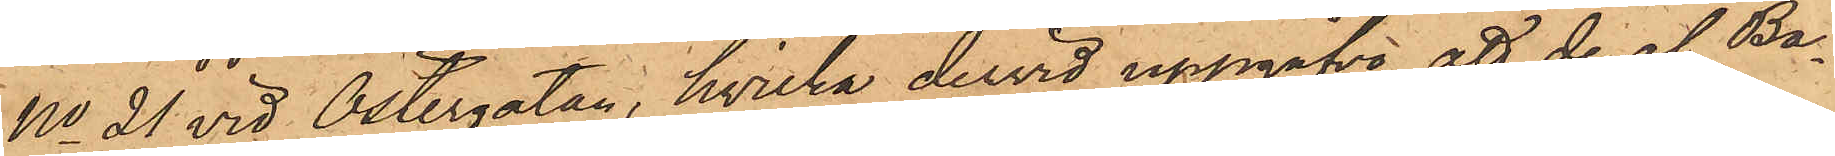No 21 vid Östergatan, hvilka dervid uppgåfva, att de af Ba¬
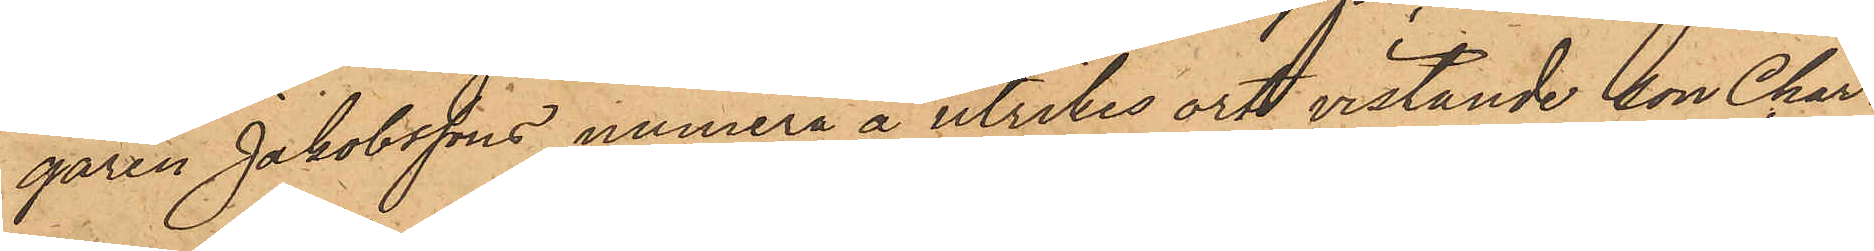garen Jakobssons numera å utrikes ort vistande son Char¬
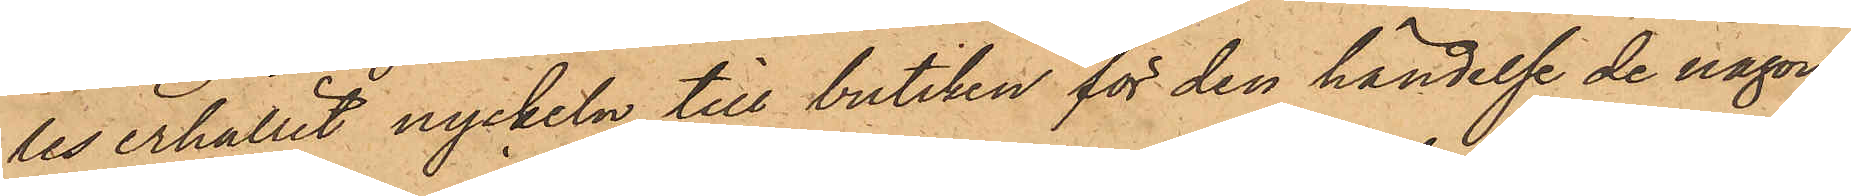les erhållit nyckeln till butiken för den händelse de någon
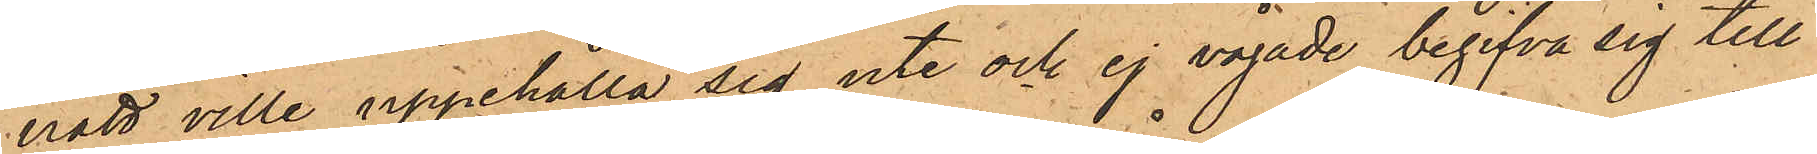natt ville uppehålla sig ute och ej vågade begifva sig till
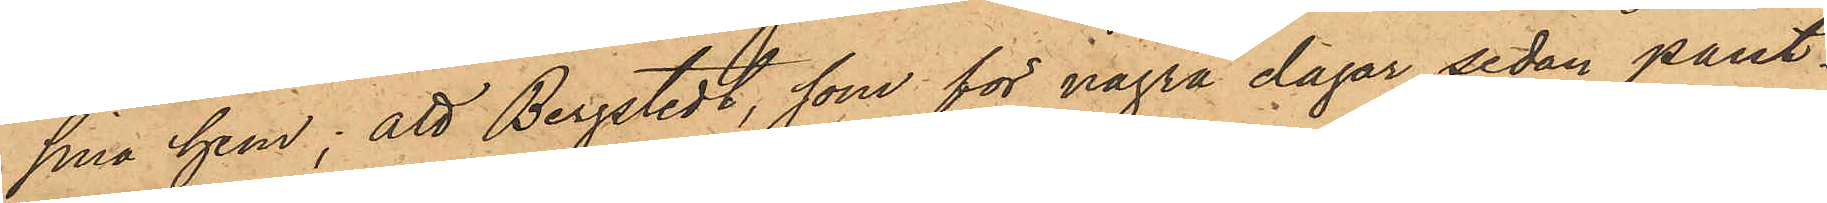sina hem; att Bergstedt, som för några dagar sedan pant¬
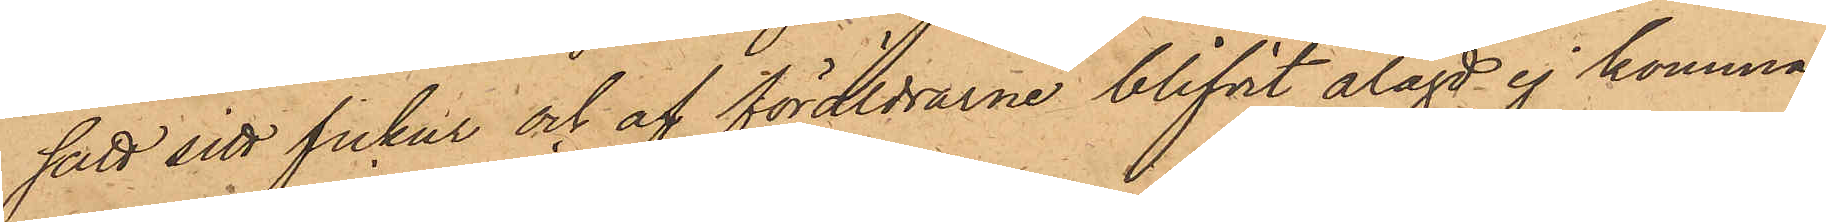satt sitt fickur och af föräldrarne blifvit ålagd ej komma
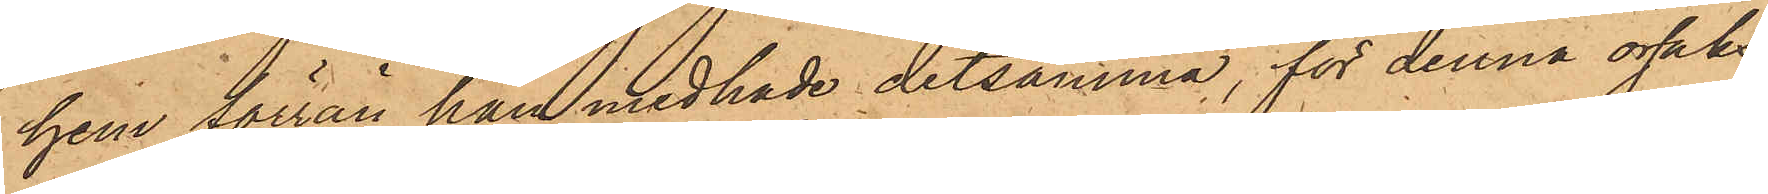hem förrän han medhade detsamma, för denna orsaks
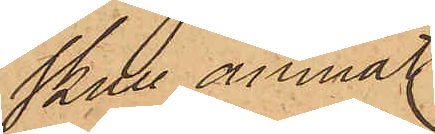skull ämnat
